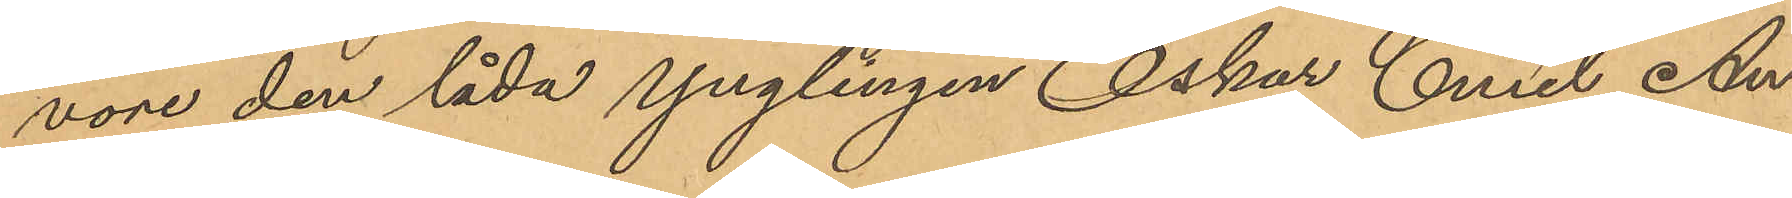vore den låda Ynglingen Oskar Emil An¬
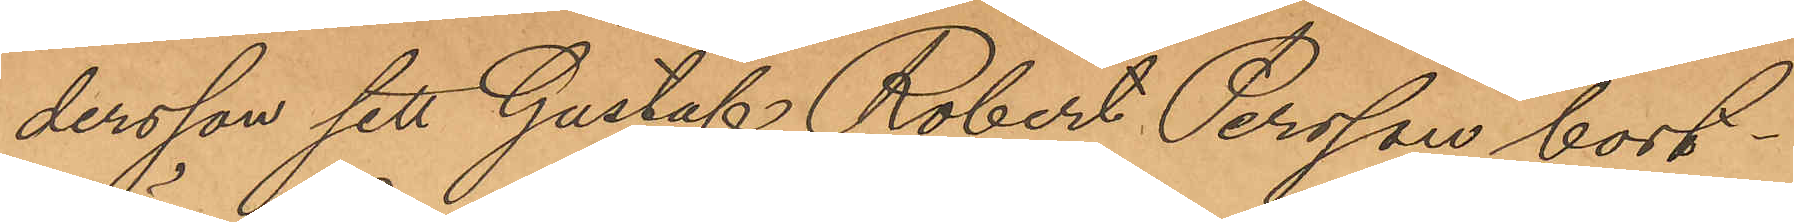dersson sett Gustaf Robert Persson bort¬
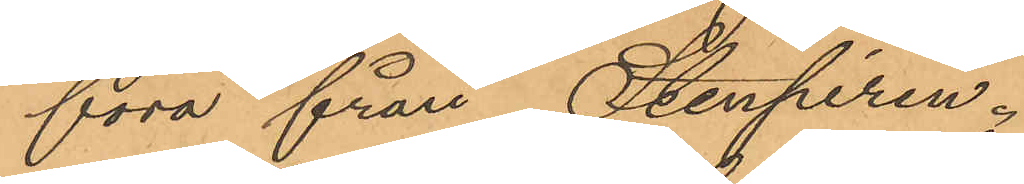föra från Stenpiren.
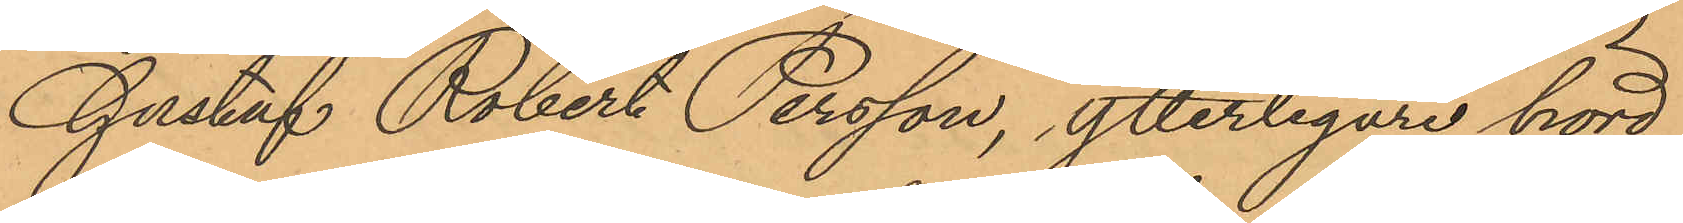Gustaf Robert Persson, ytterligare hörd
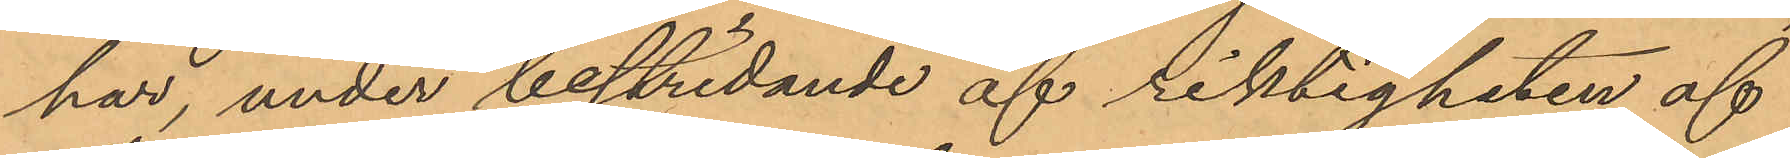har, under bestridande af riktigheten af
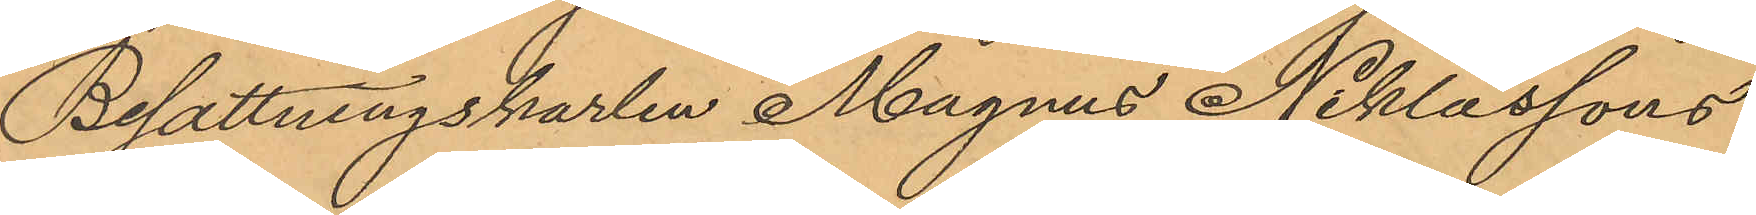Besättningskarlen Magnus Niklassons
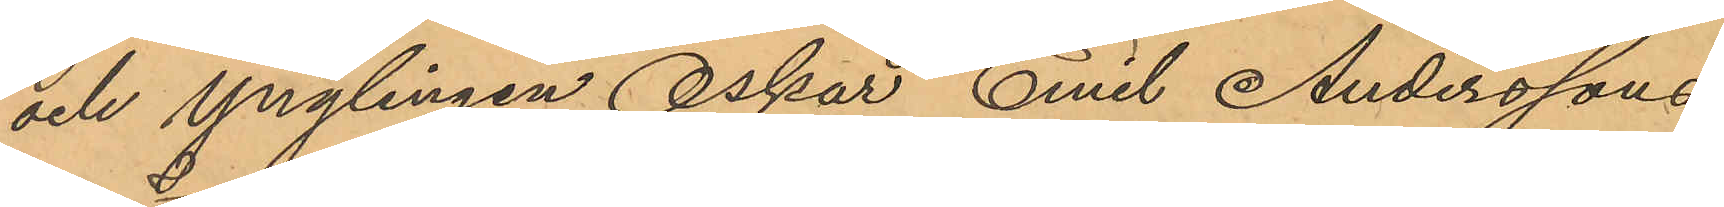och Ynglingen Oskar Emil Anderssons
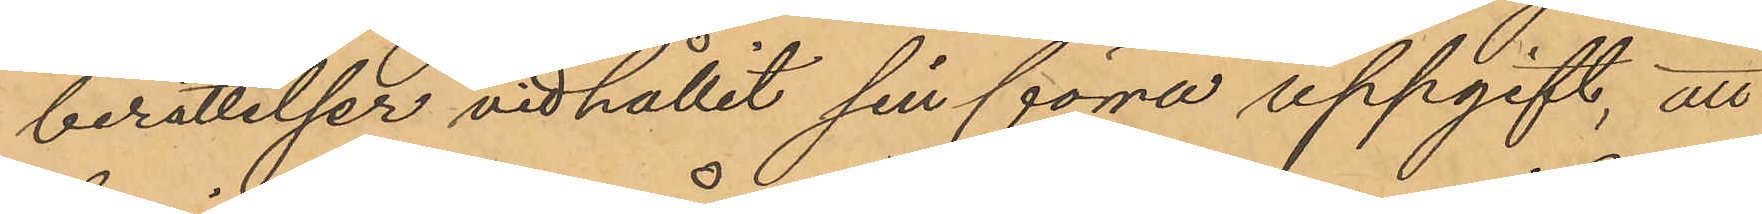berättelser vidhållit sin förra uppgift, att
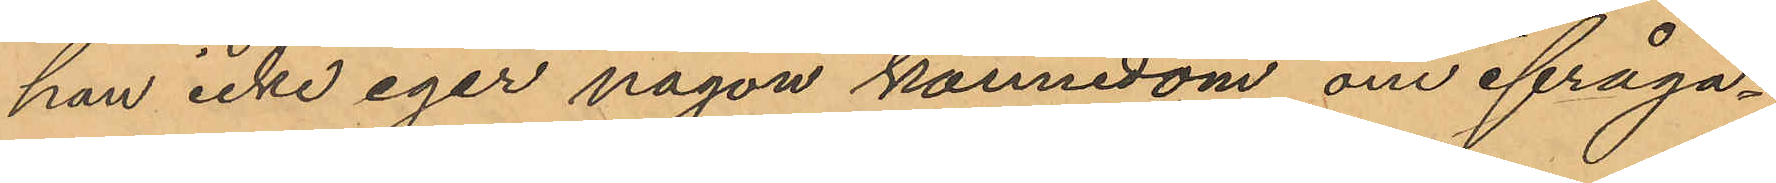han icke eger någon kännedom om ifråga¬
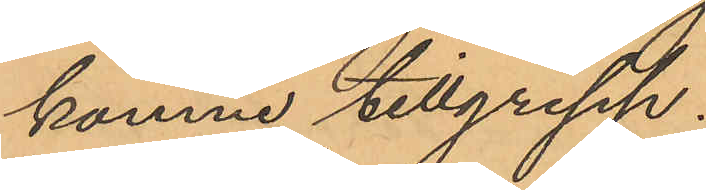komne tillgrepp.
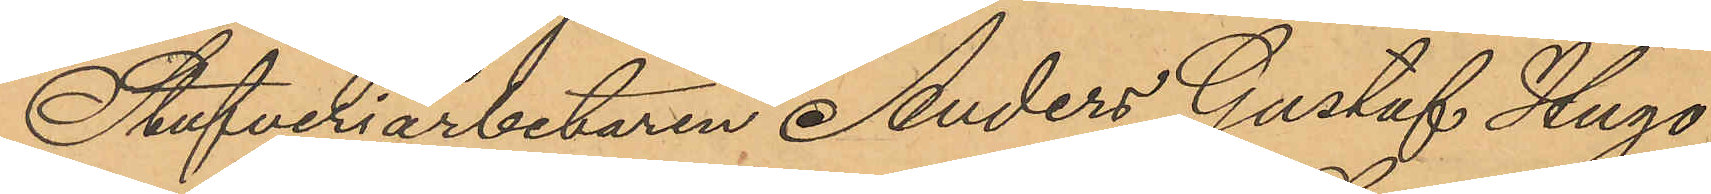Stufveriarbetaren Anders Gustaf Hugo
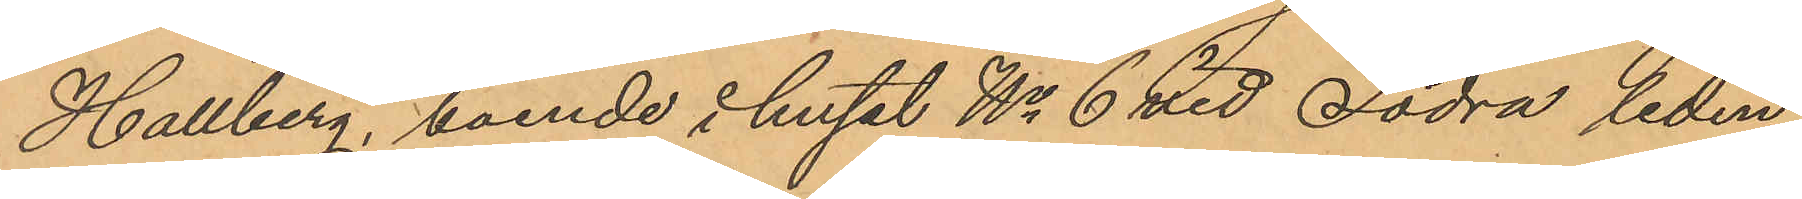Hallberg, boende i huset No 6 vid Södra liden
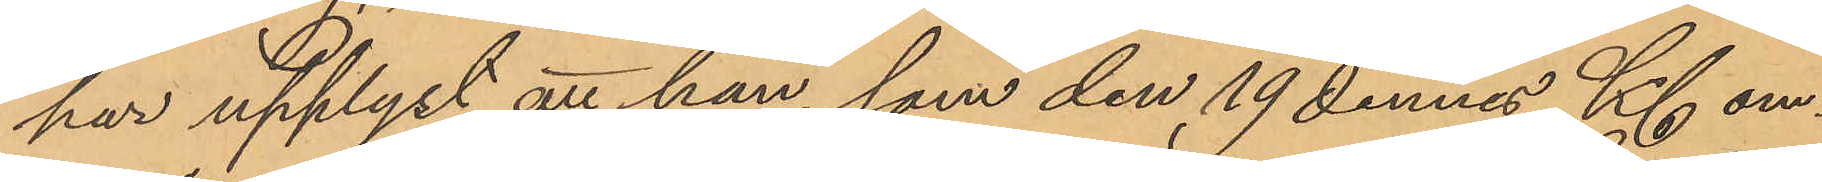har upplyst att han, som den 19 dennes Kl om¬
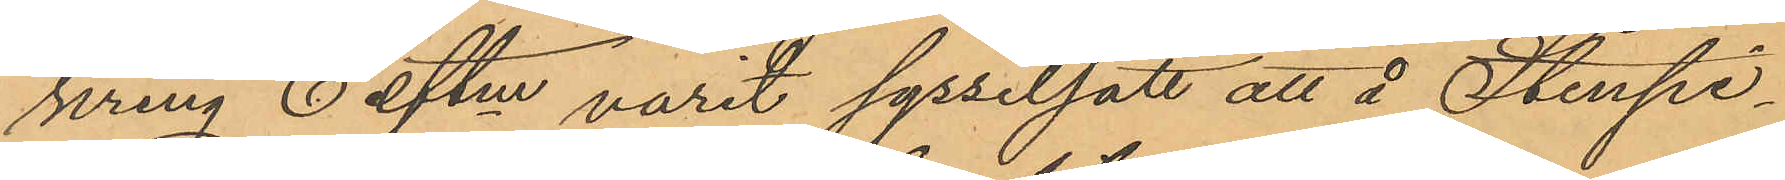kring 6 eftm varit sysselsatt att å Stenpi¬
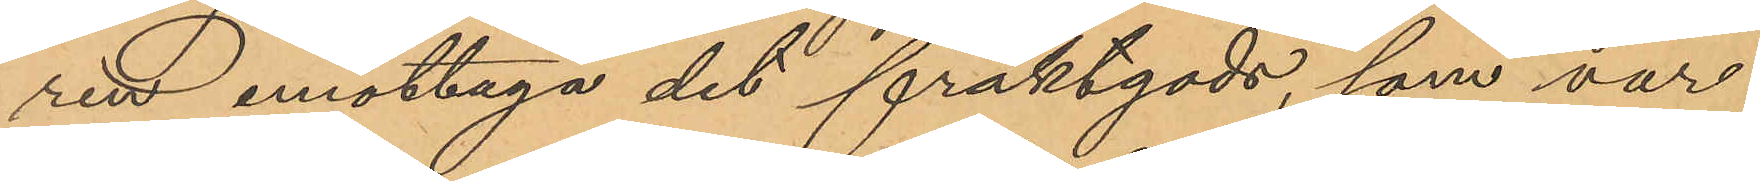ren emottaga det fraktgods, som var
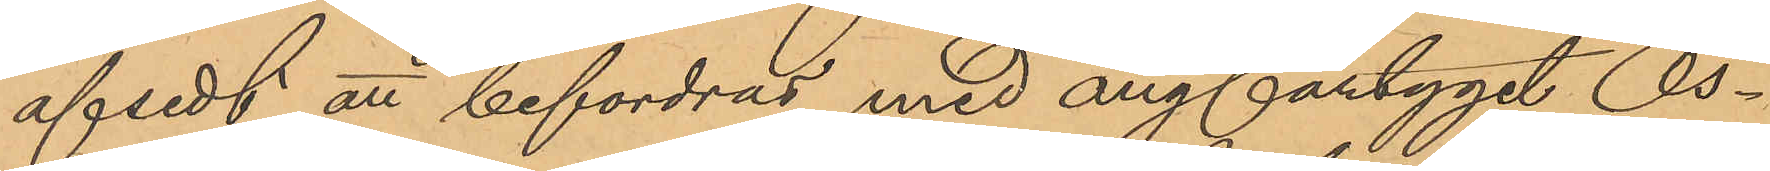afsedt att befordras med ångfartyget "Os¬
